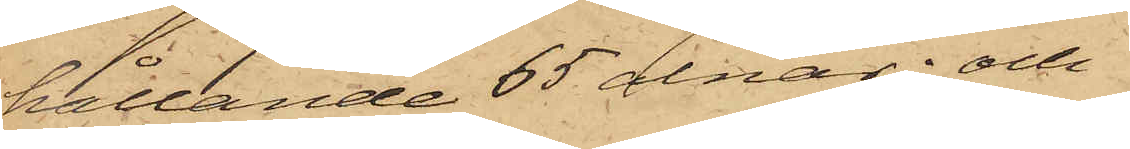hållande 65 alnar; och
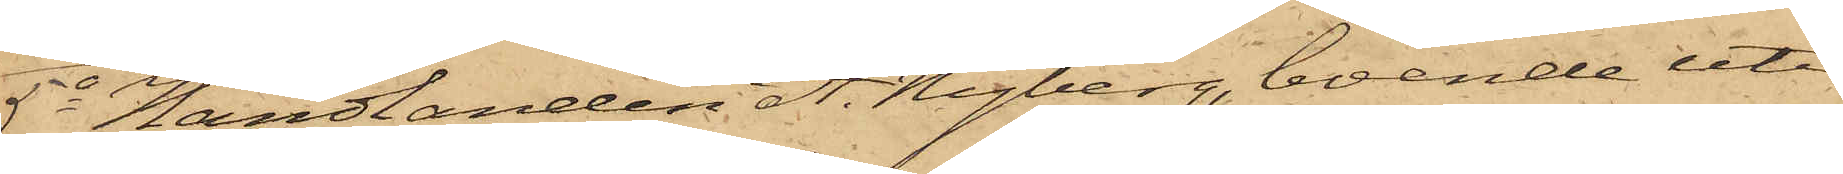5o Handlanden A. Nyberg, boende uti
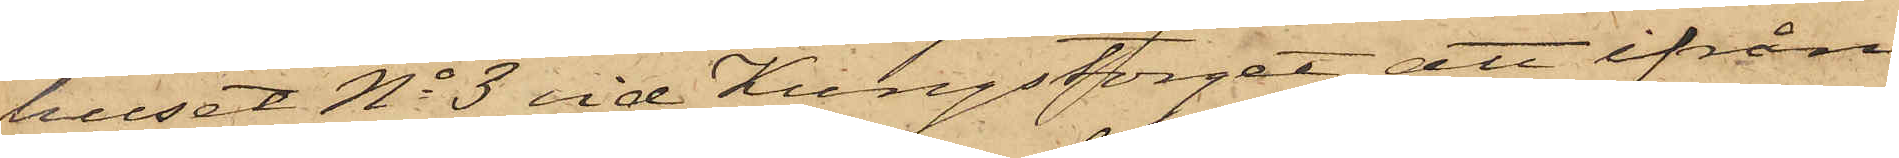huset No 3 vid Kungstorget, att ifrån
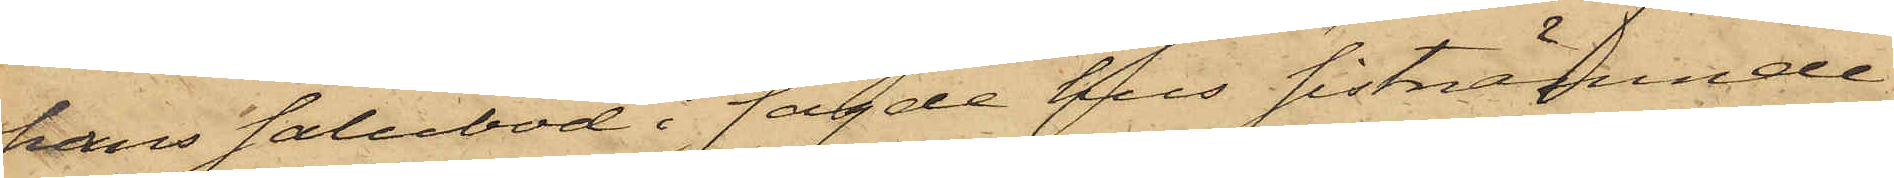hans salubod i sagde hus sistnämnde
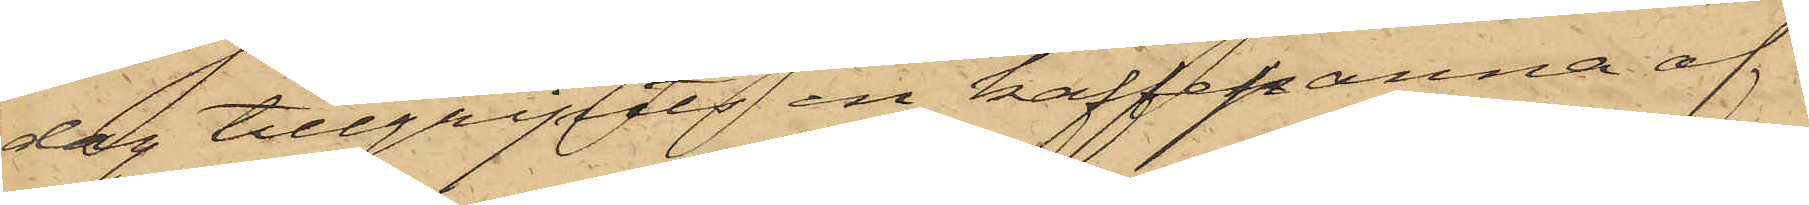dag tillgripits en kaffekanna af
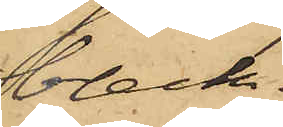bleck.
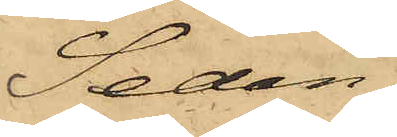Sedan
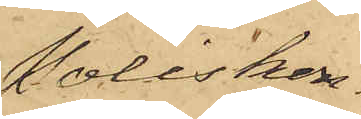Poliskon¬
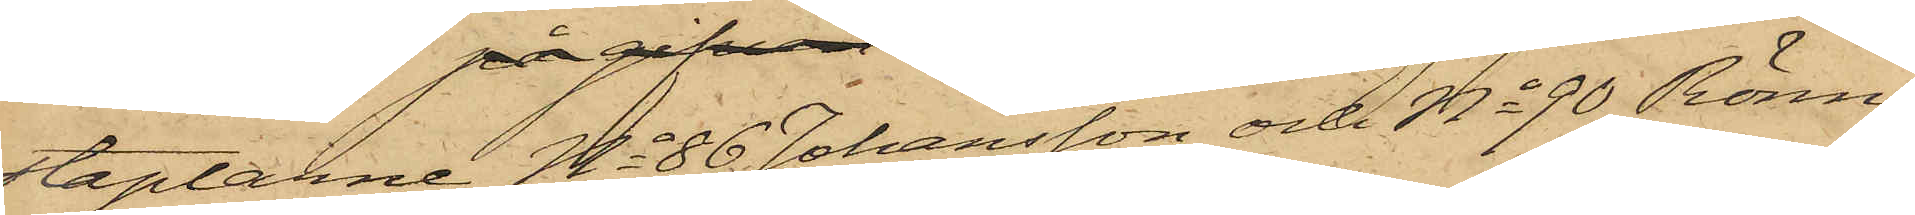staplarne No 86 Johansson och No 90 Rönn¬
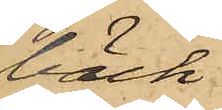bäck
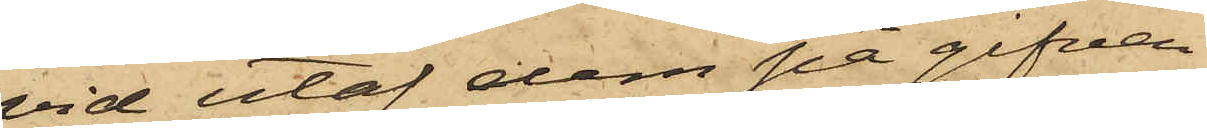vid utaf dem på gifven
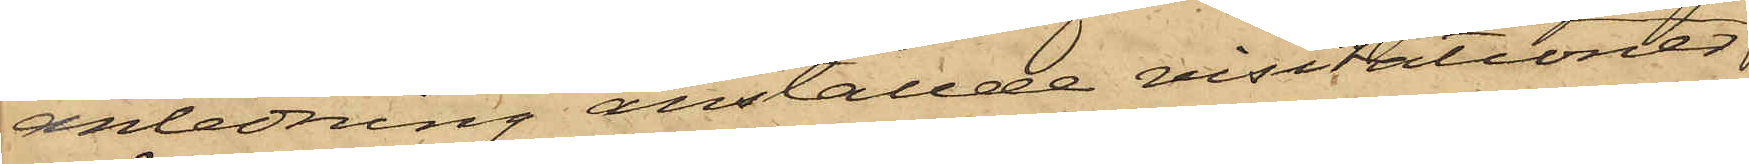anledning anställde visitationer
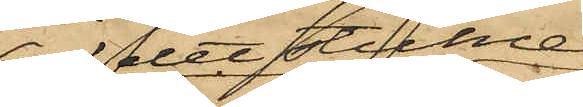af det stulne
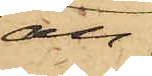an¬
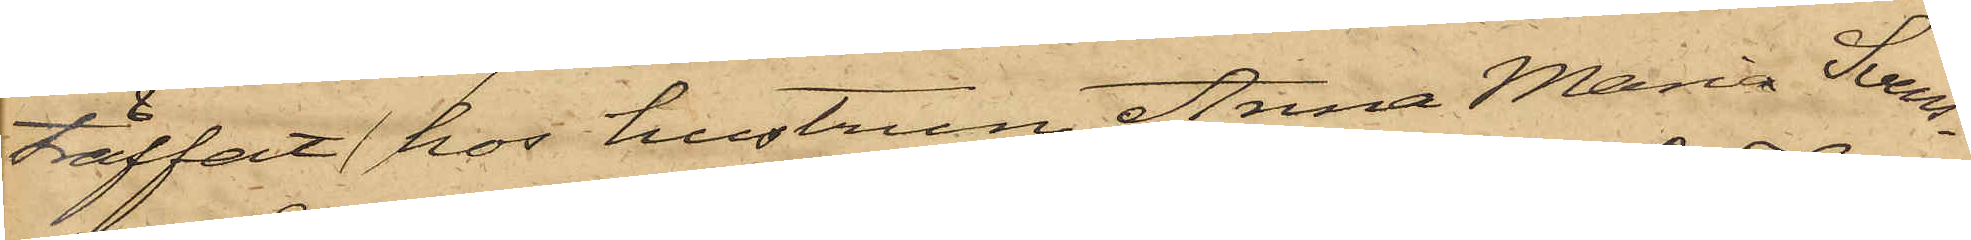träffat hos hustrun Anna Maria Svens¬
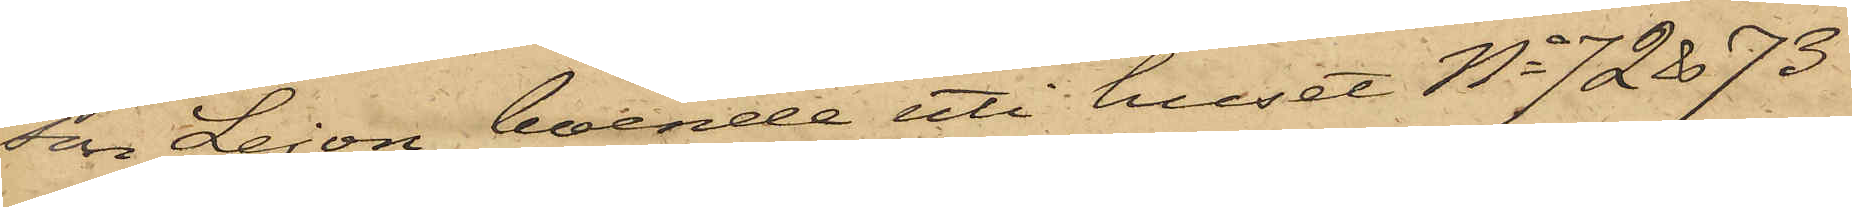son Lejon, boende uti huset No 72 & 73
